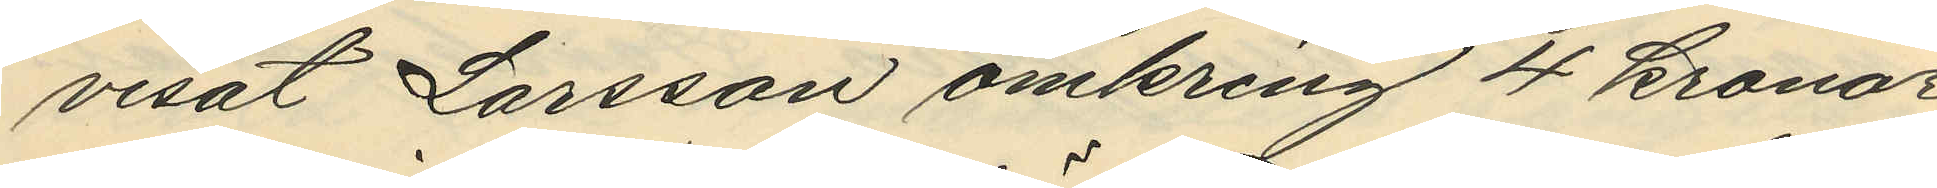visat Larsson omkring 4 kronor
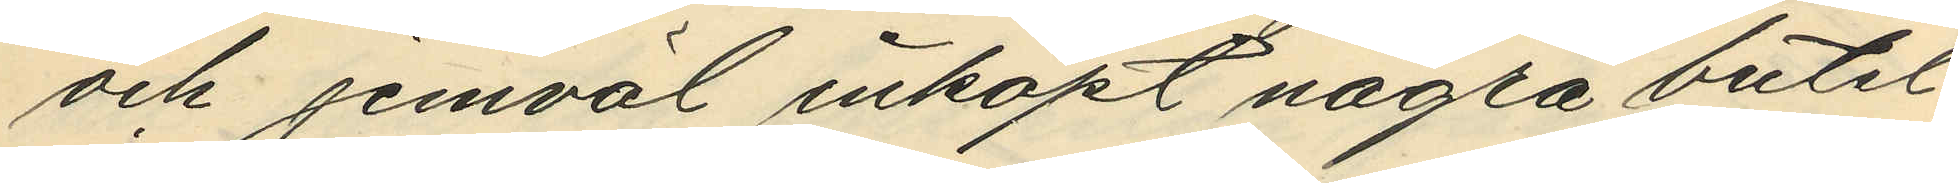och jemväl inköpt några butel¬
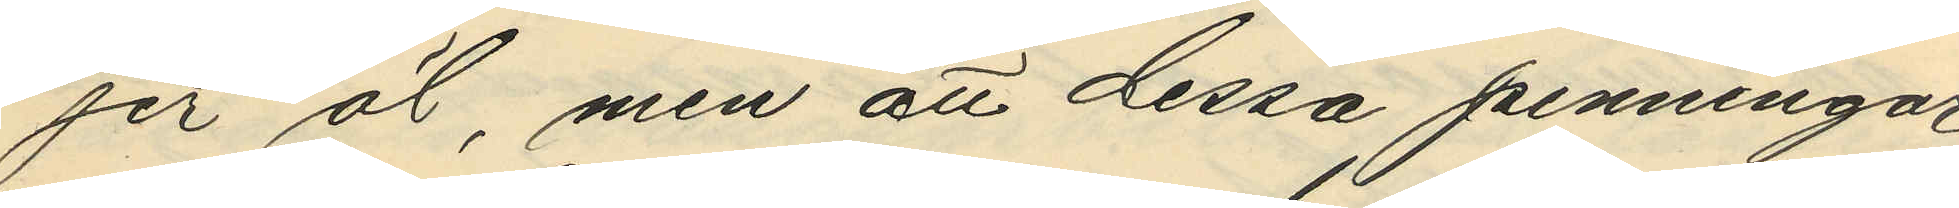jer öl, men att dessa penningar
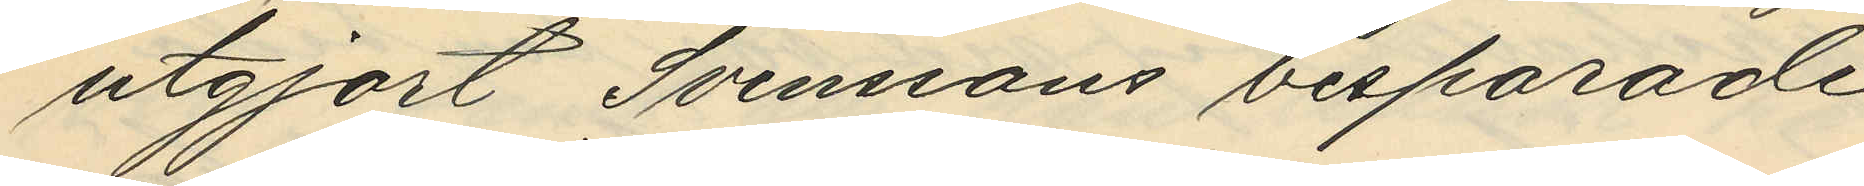utgjort Svenssons besparade
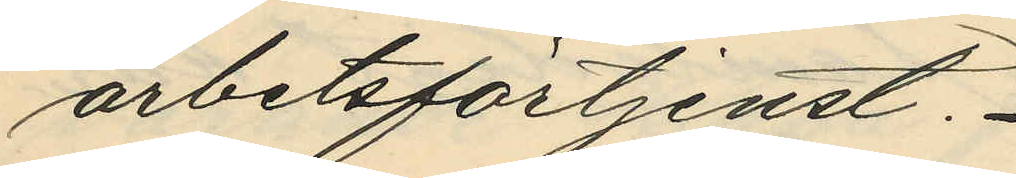arbetsförtjenst. 
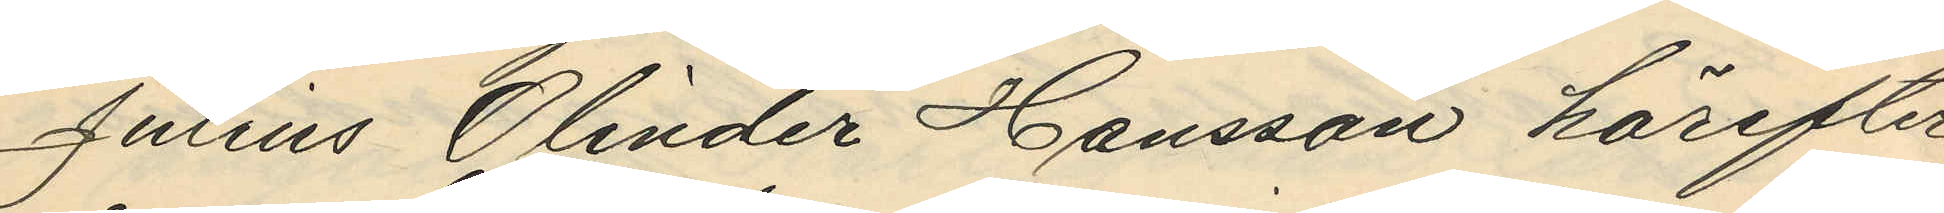Julius Olinder Hansson härefter
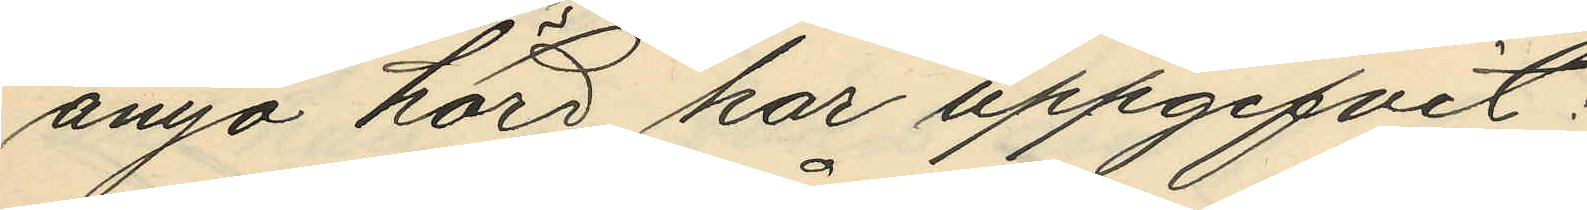ånyo hörd har uppgifvit:
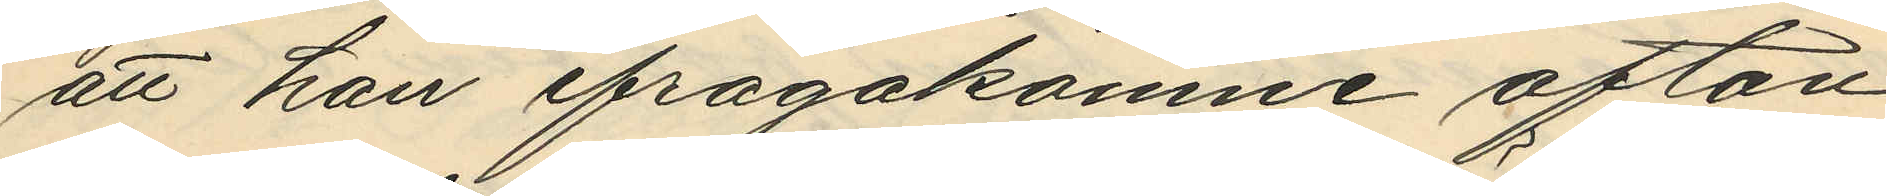att han ifrågakomne afton
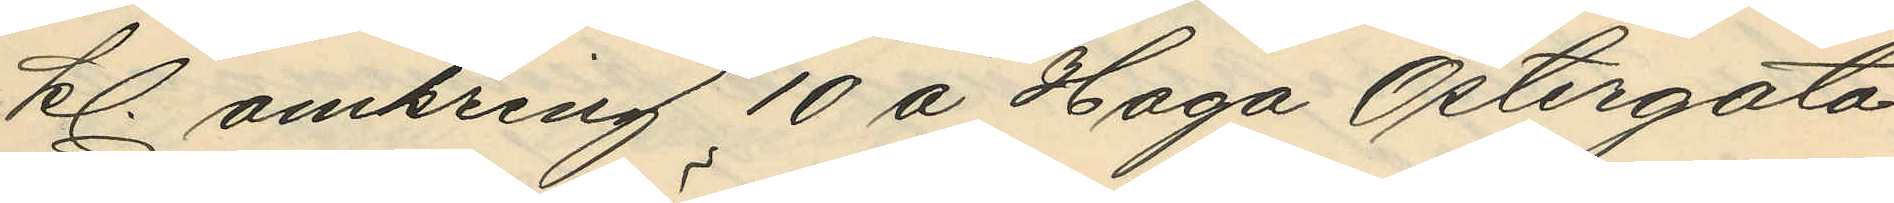kl. omkring 10 å Haga Östergata
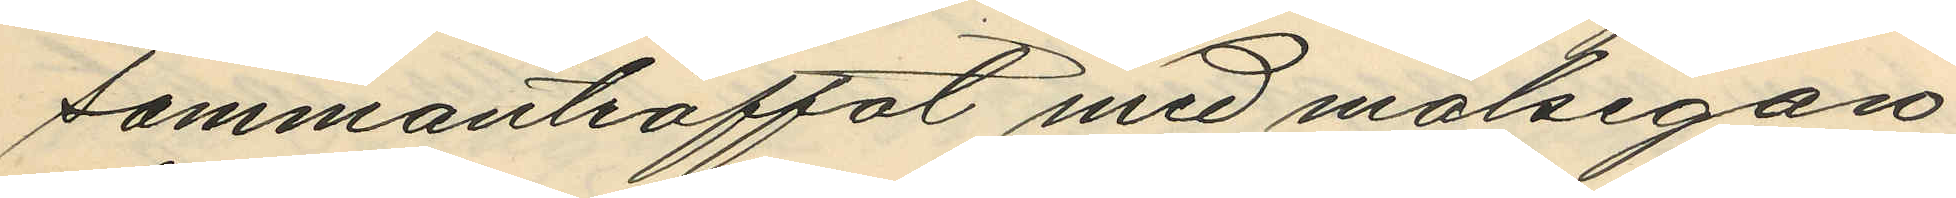sammanträffat med målsegan¬
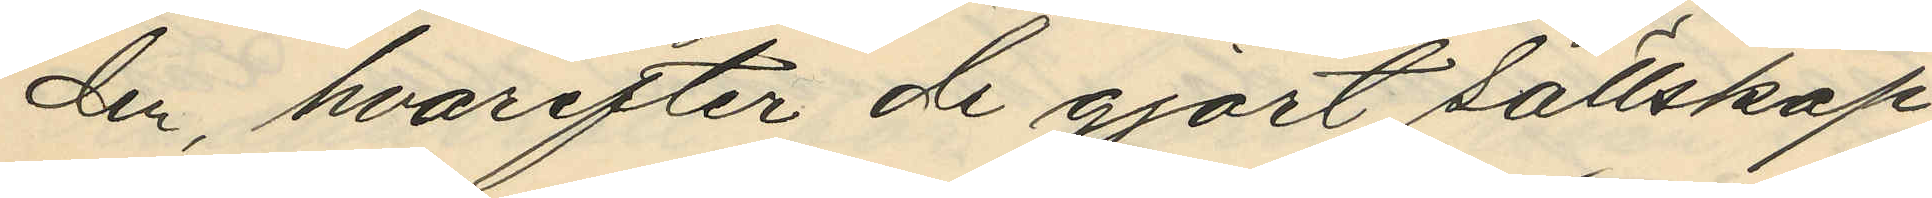den, hvarefter de gjort sällskap
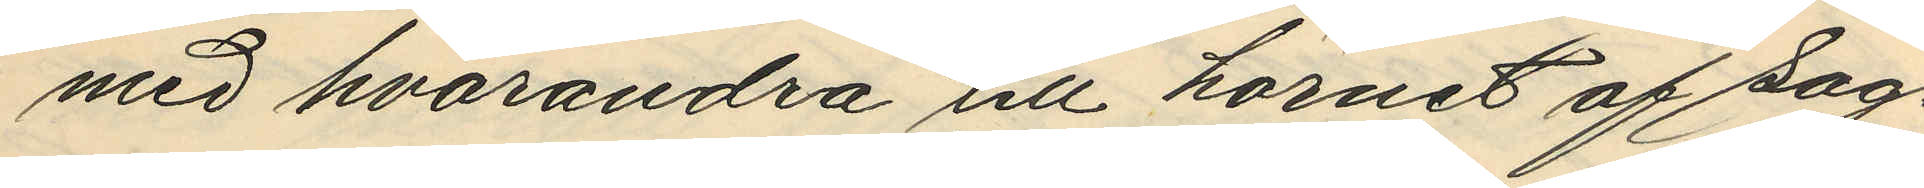med hvarandra till hörnet af sag¬
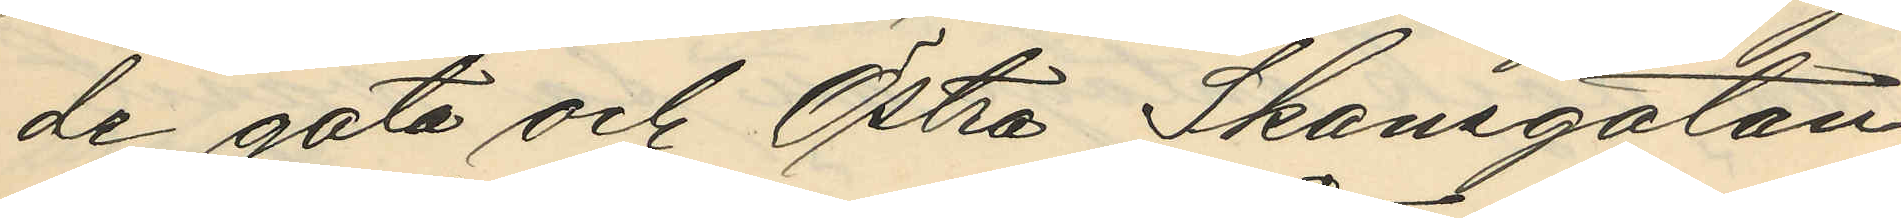de gata och Östra Skansgatan,
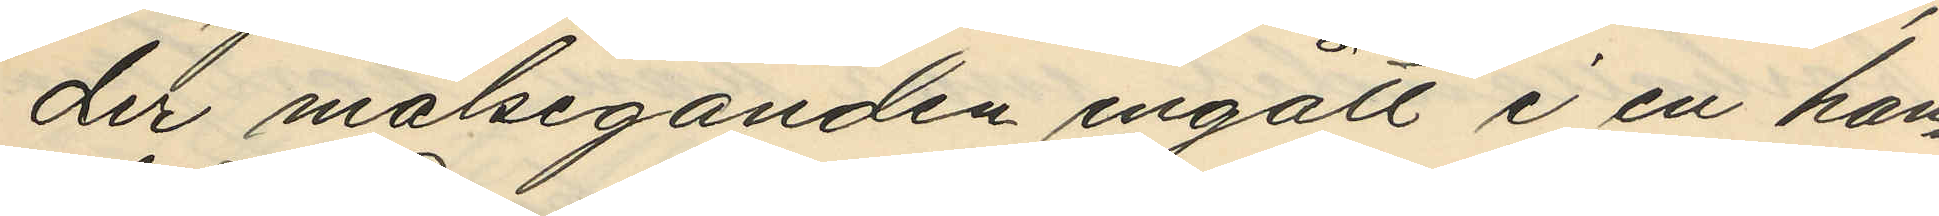der målseganden ingått i en han¬
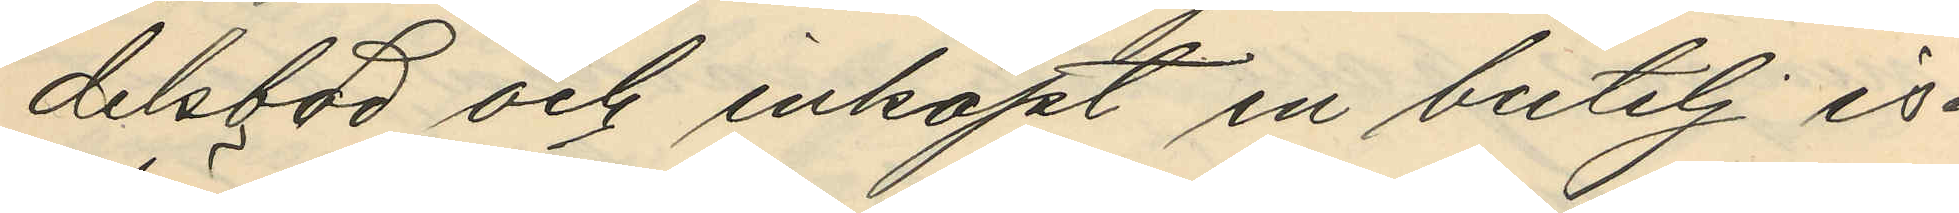delsbod och inköpt en butelj is¬
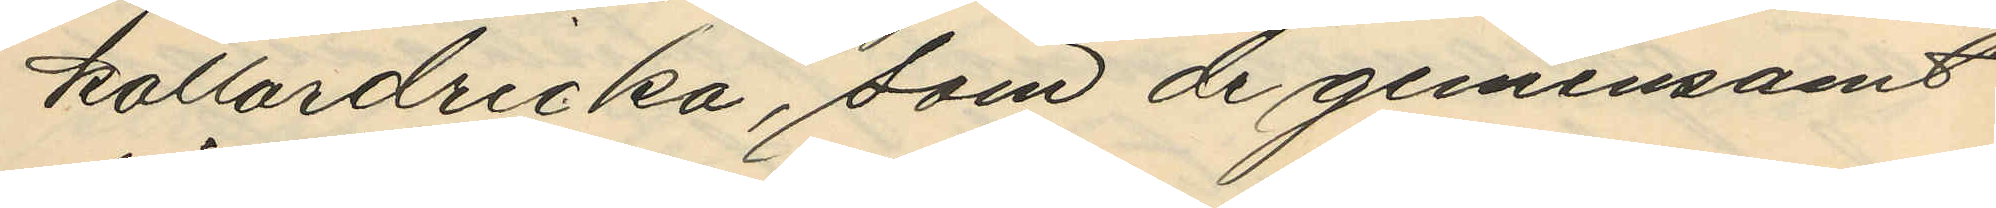källardricka, som de gemensamt
